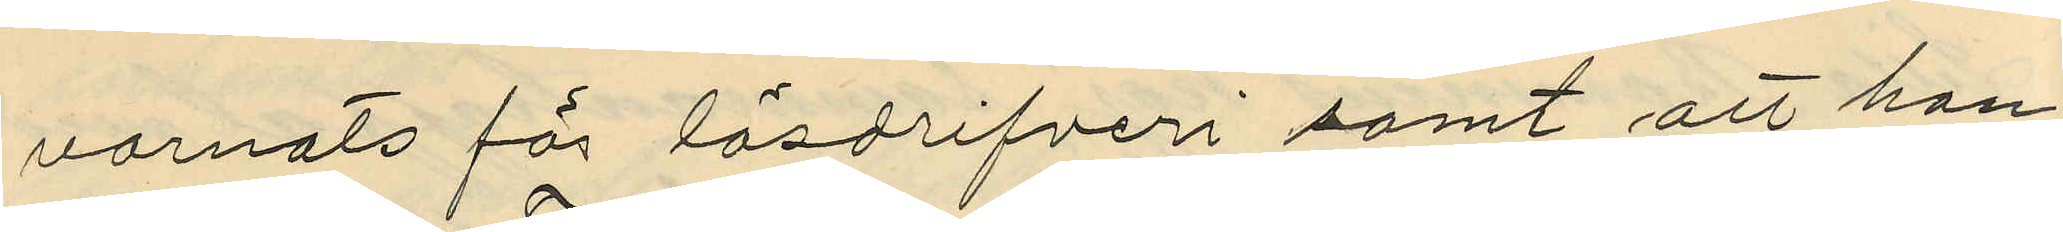varnats för lösdrifveri samt att han
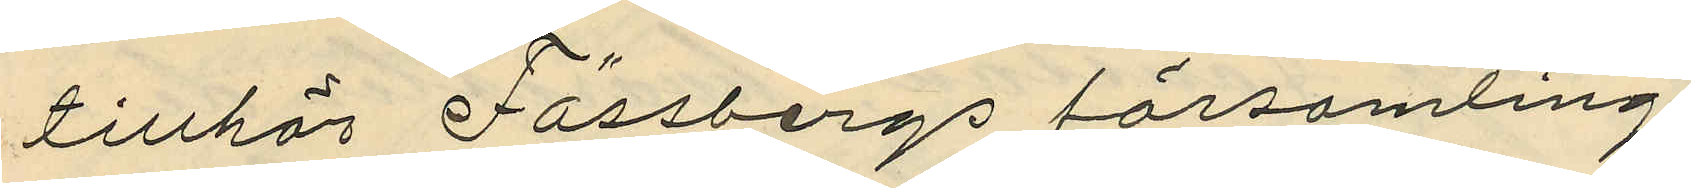tillhör Fässbergs församling.
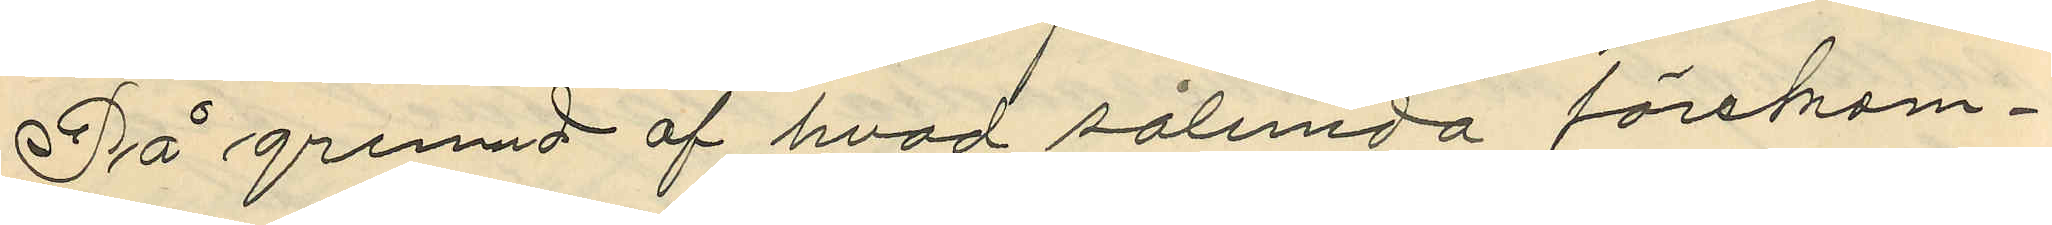På grunnd af hvad sålunda förekom¬
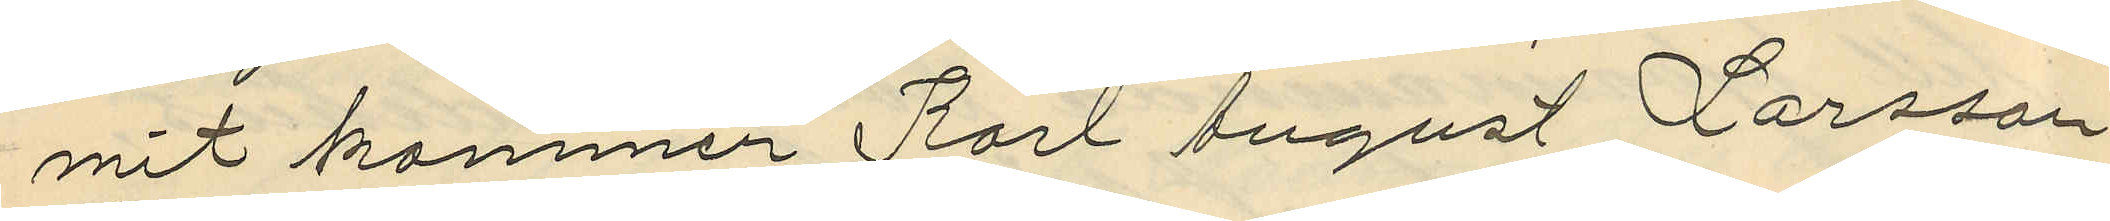mit kommer Karl August Larsson
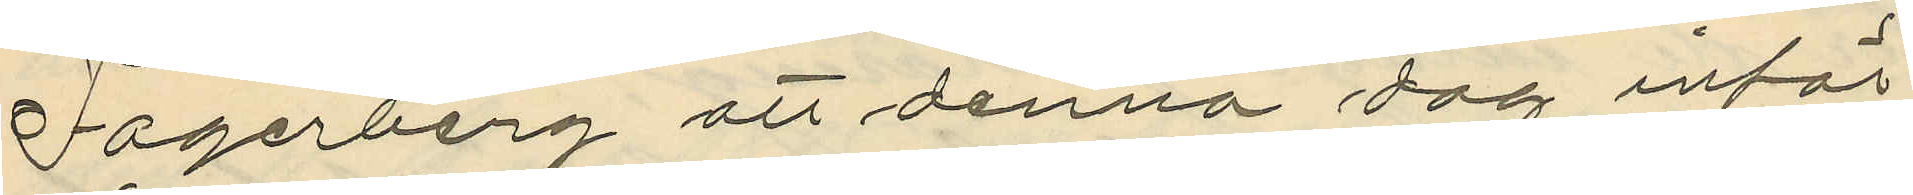Fagerberg att denna dag inför
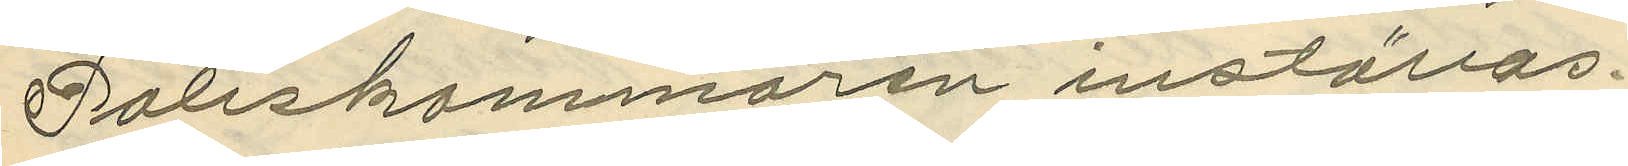Poliskammaren inställas.
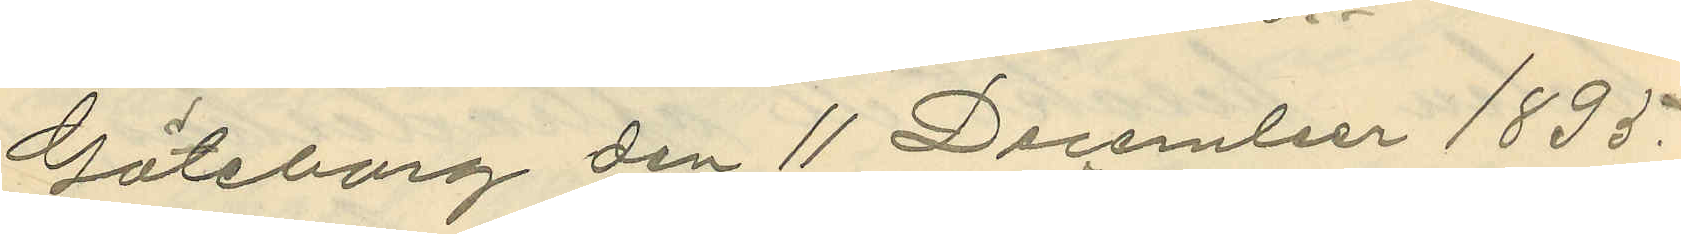Göteborg den 11 December 1895.
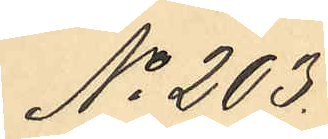No 203.
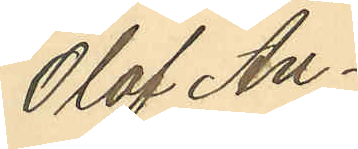Olof An¬
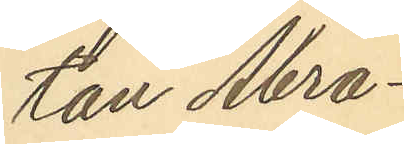ton Abra¬
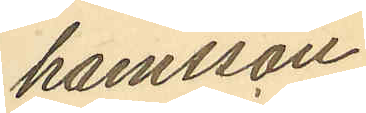hamsson
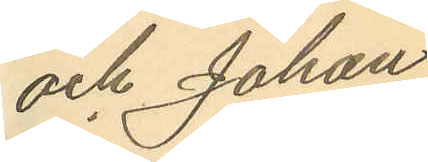och Johan
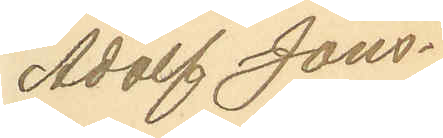Adolf Jöns¬
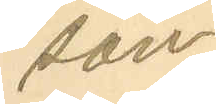son
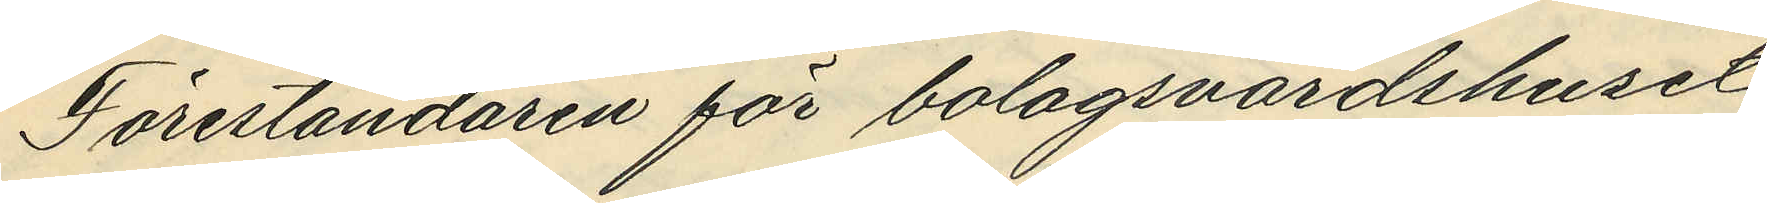Föreståndaren för bolagsvärdshuset
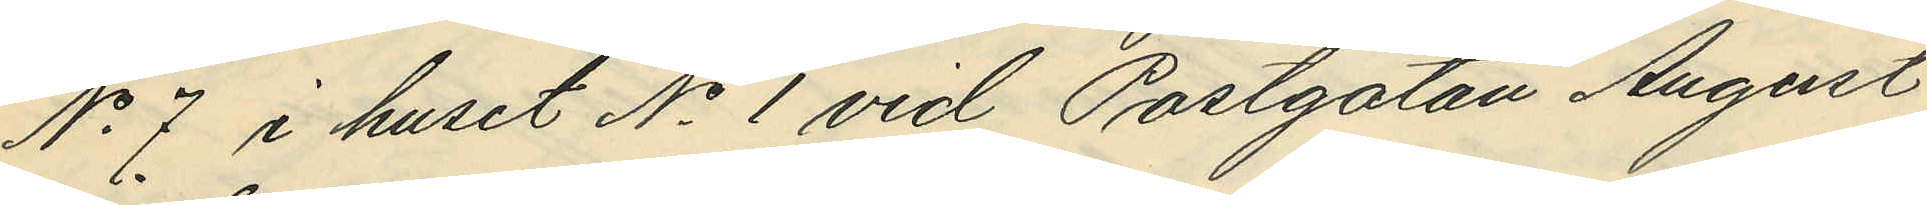No 7 i huset No 1 vid Postgatan August
